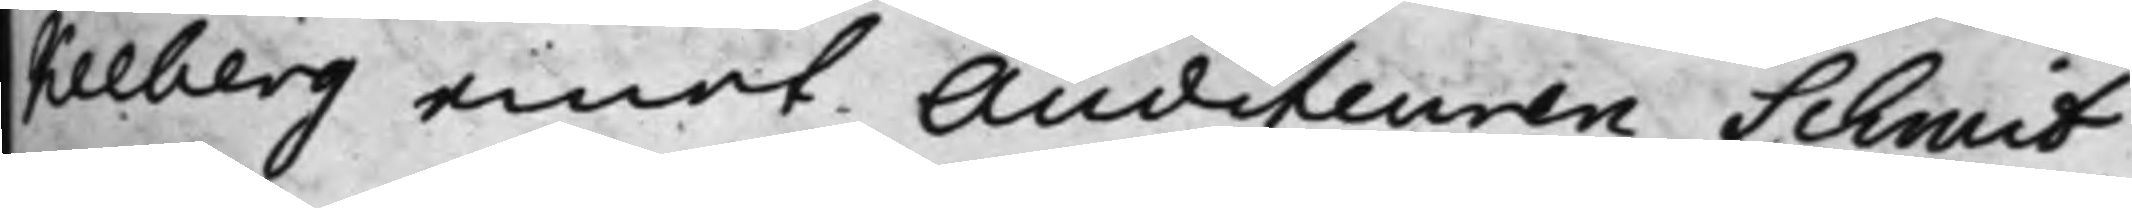kelberg emot Auditeuren Schmit.
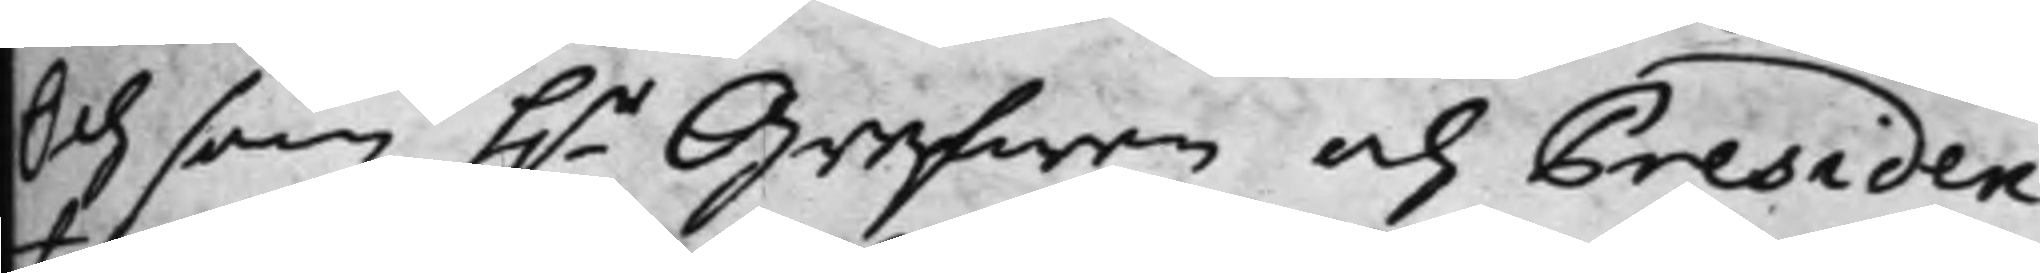Och som h.r Grefwen och Presiden¬
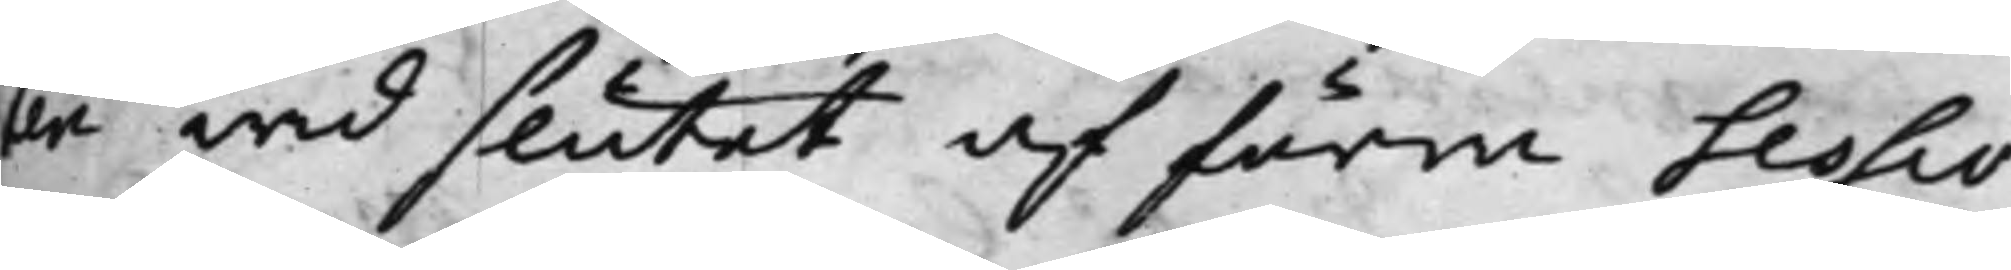ten wid slutet af förra Sessio¬
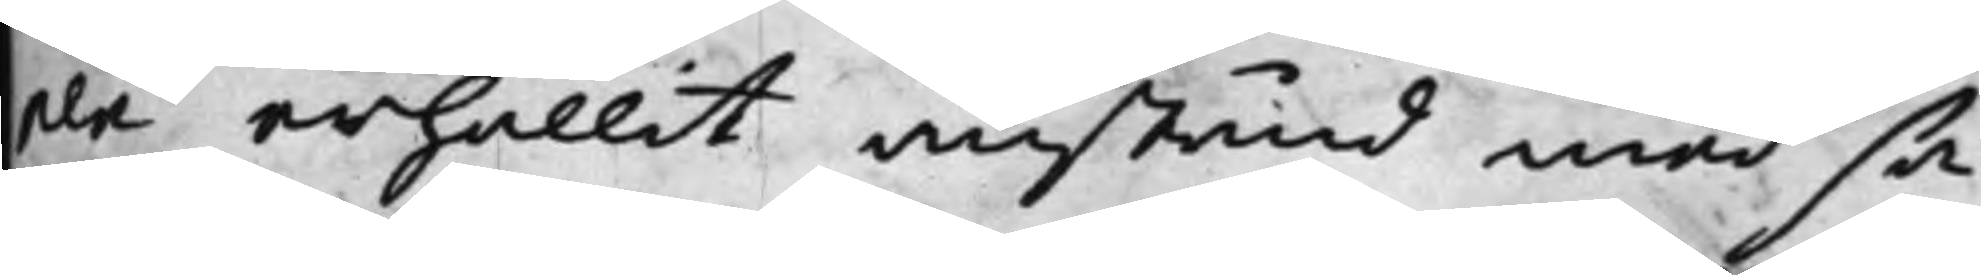nen erhållit anstånd med sa¬
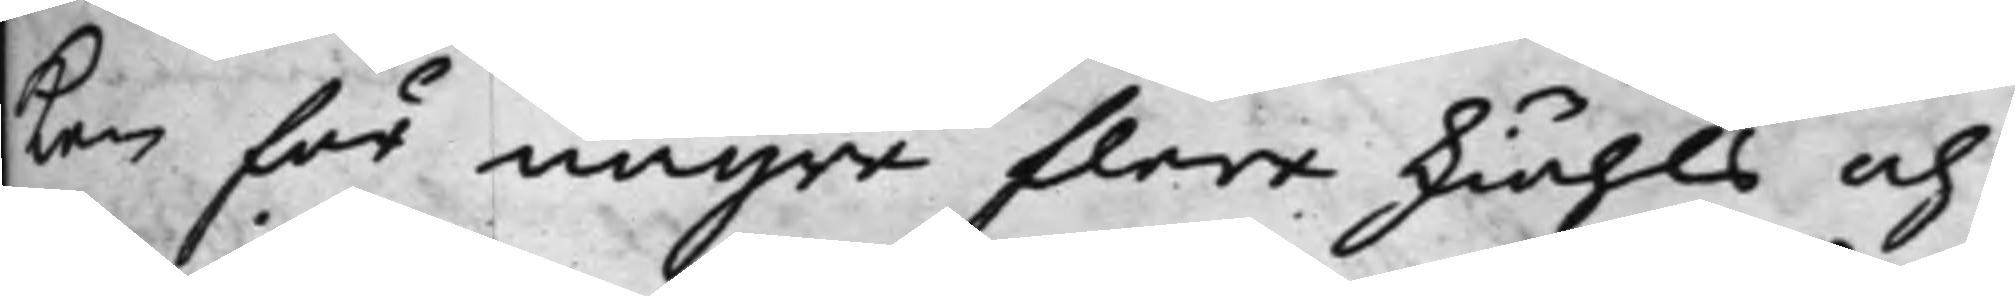ken för några flera skiähls och
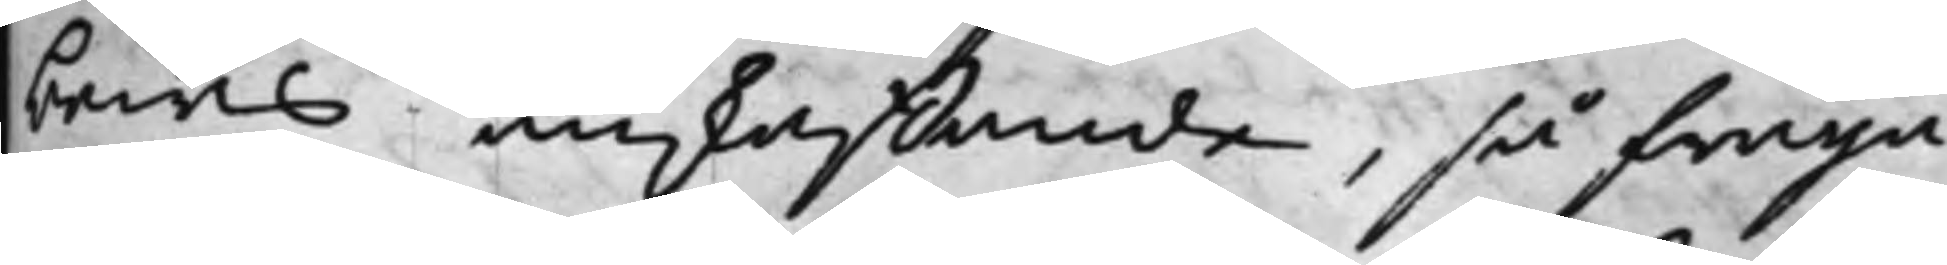bewis anskaffande, så fråga¬
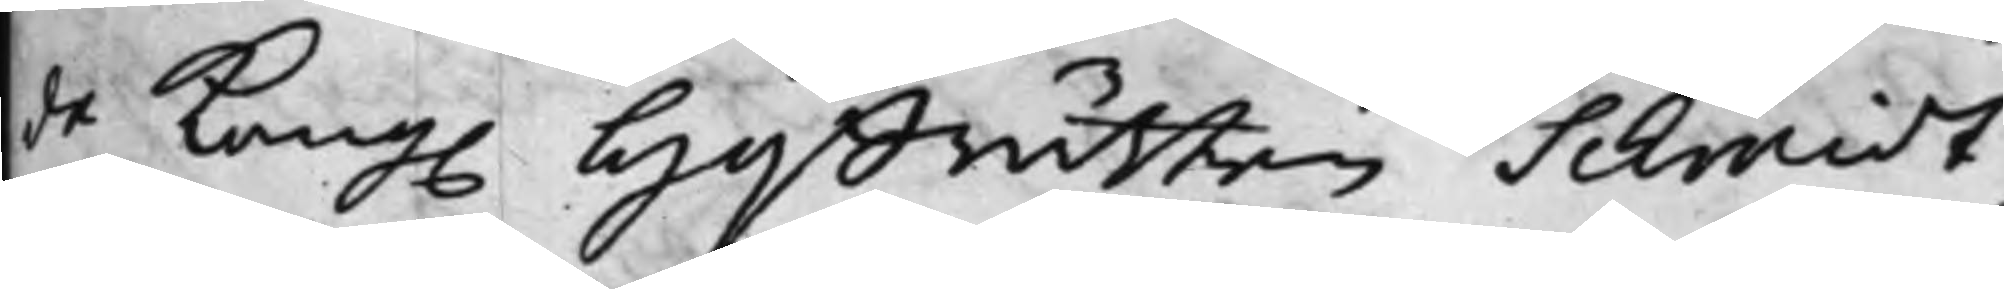de Kong. Hoffrätten Schmidt,
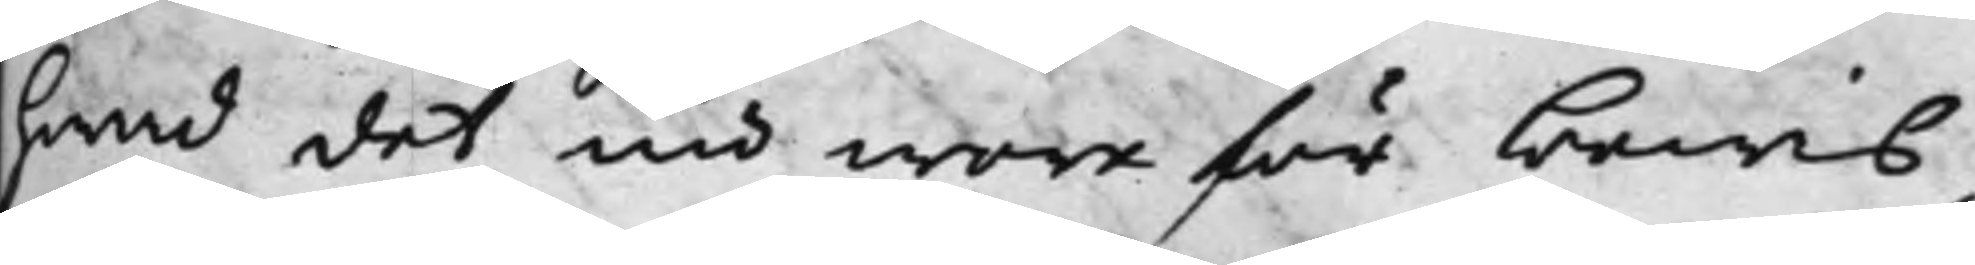hwad det nu wore för bewis,
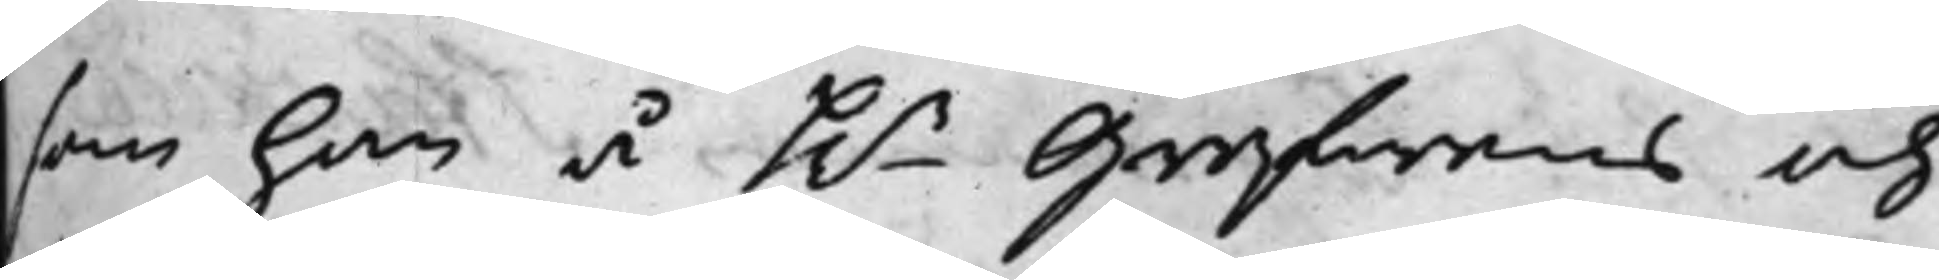som han å h.r Grefwens och
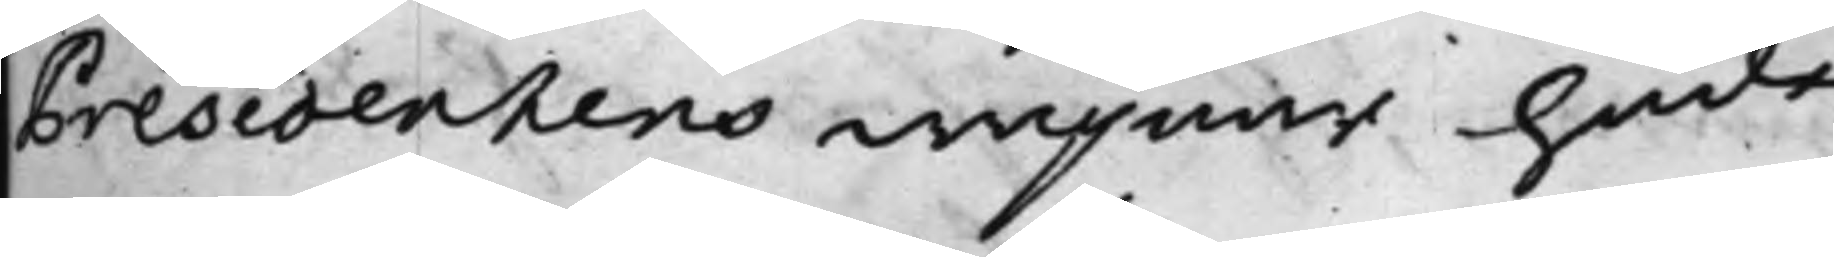Presidentens wägnar hade
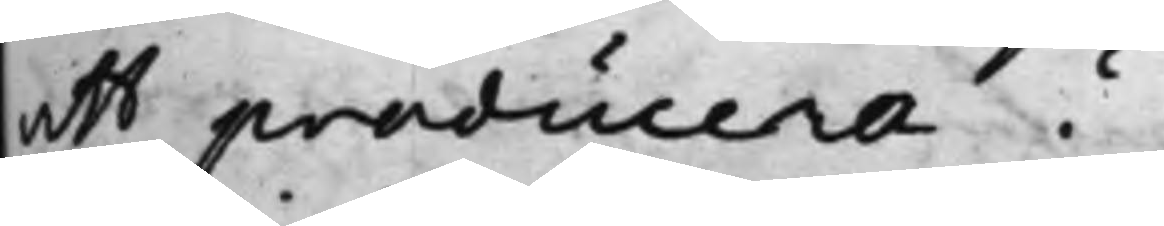att producera?
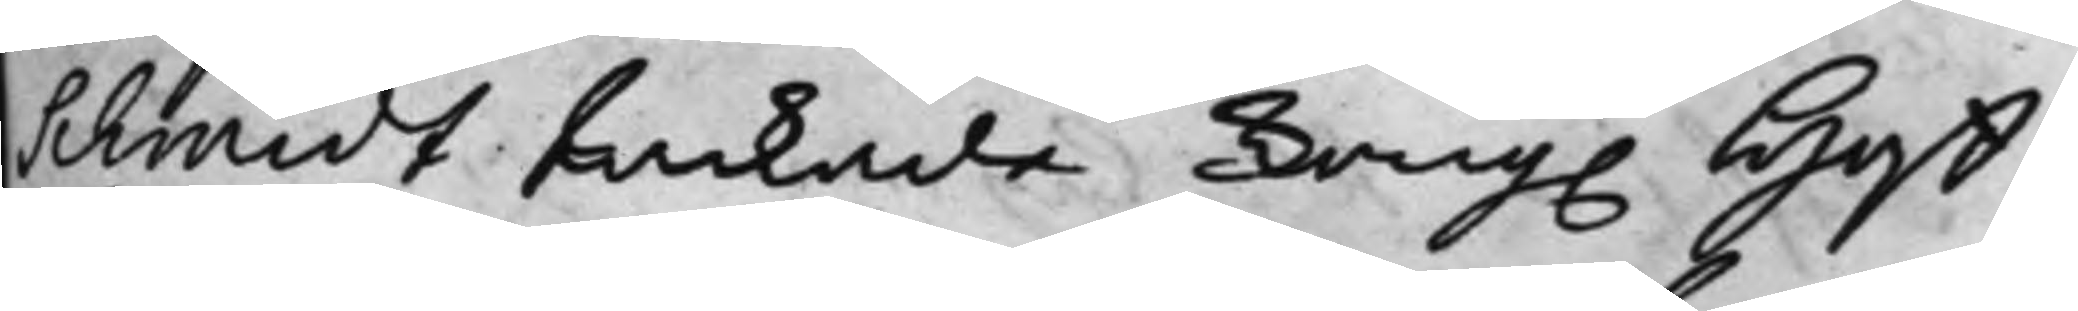Schmidt tackade Kong. Hoff¬
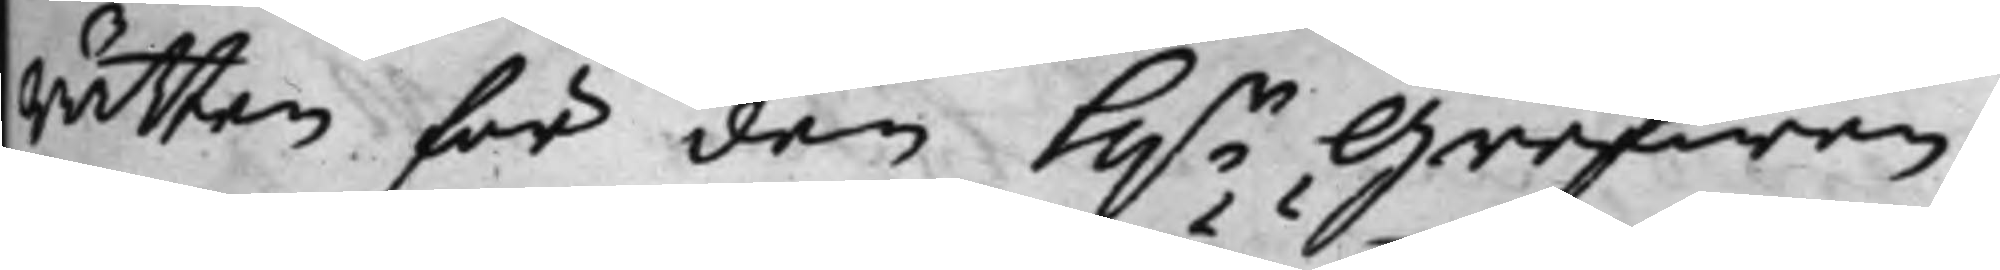rätten för den H.r Grefwen
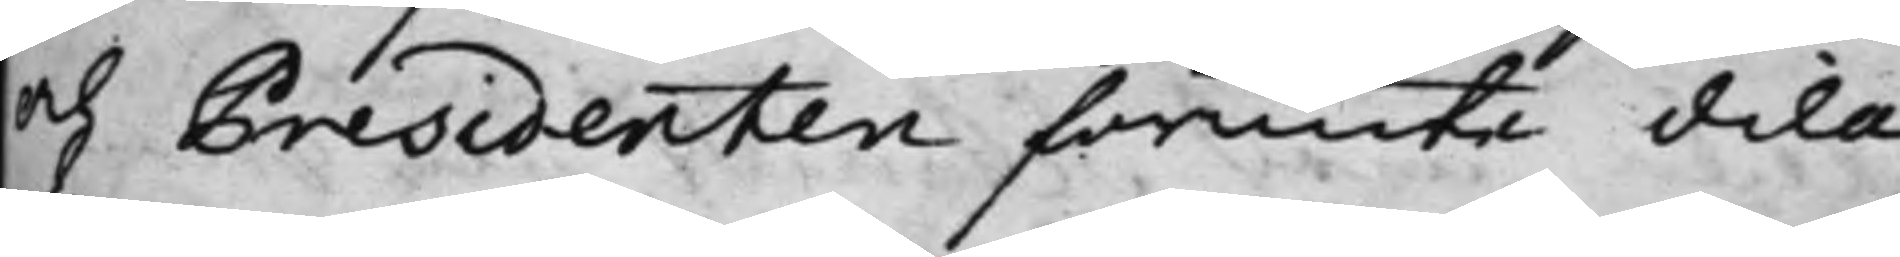och Presidenten förunte dila¬
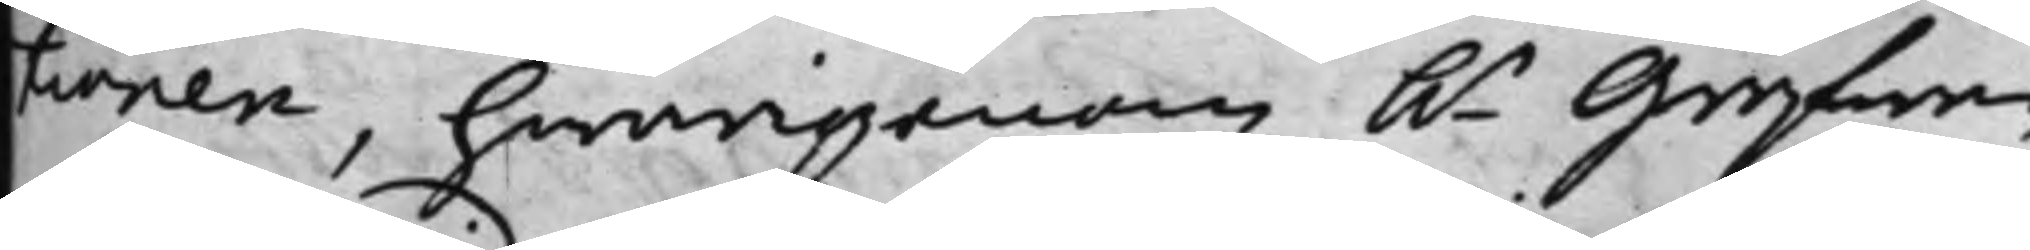tionen, hwarigenom h.r Grefwen
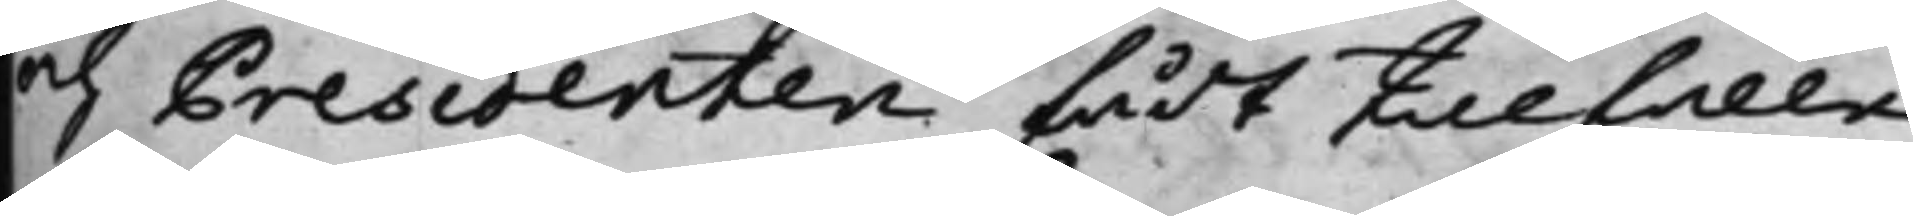och Presidenten fådt tillfälle
